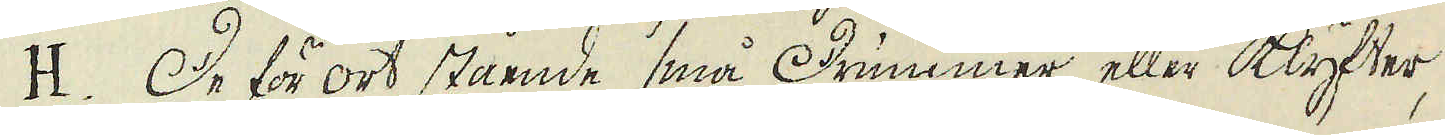H. De för ort stående små Drummer eller Klyfter,
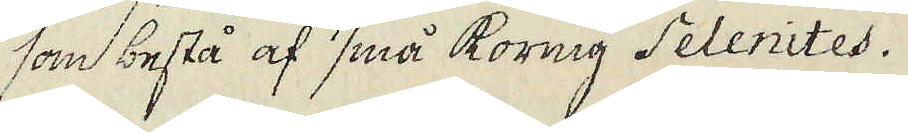som bestå af små kornig Selenites.
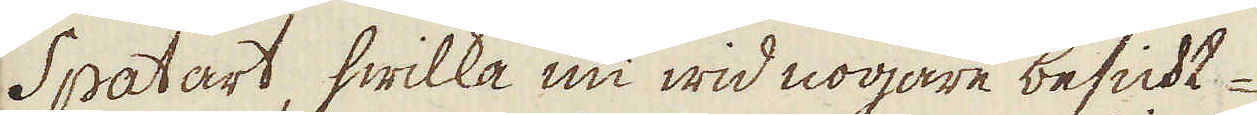Spatart, hwilka nu wid nogare besickt-
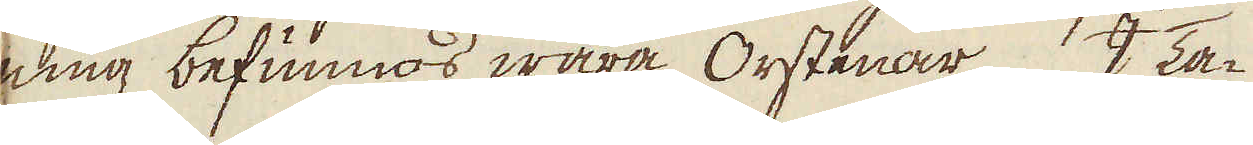ning befunnos wara Orstenar. I Ta-
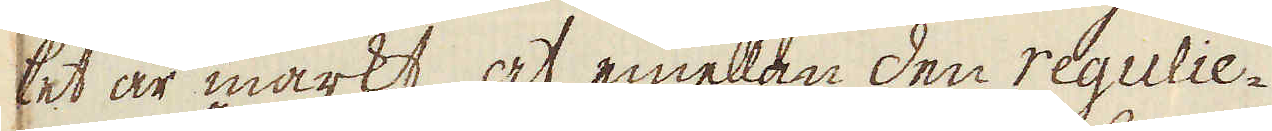ket är märkt, at emellan den regulie-
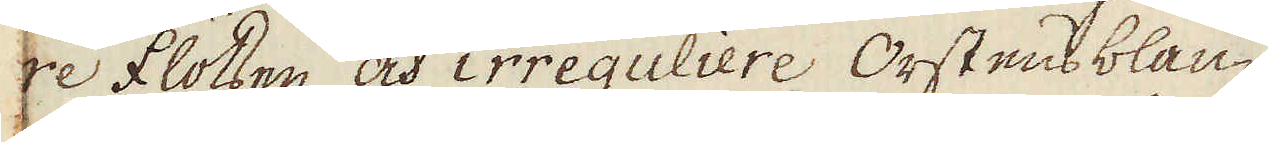re flötsen och irreguliere Orstens blan-
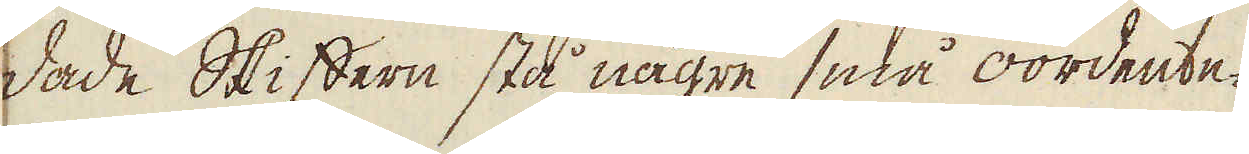dade Skiffern stå någre små oordente-
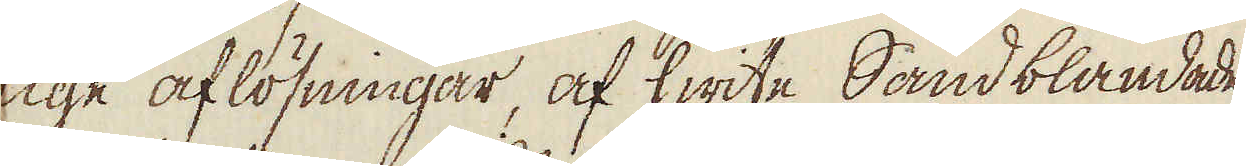lige aflösningar, af hwite Sandblandade
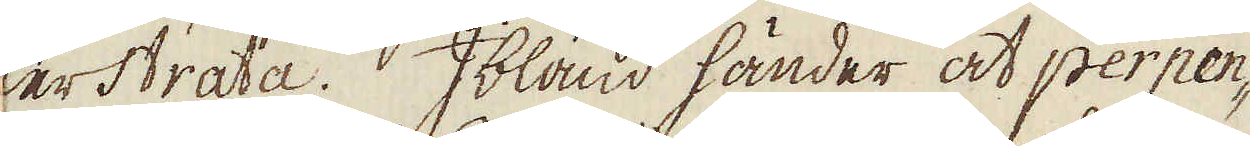lerstrata. Ibland händer at perpen-
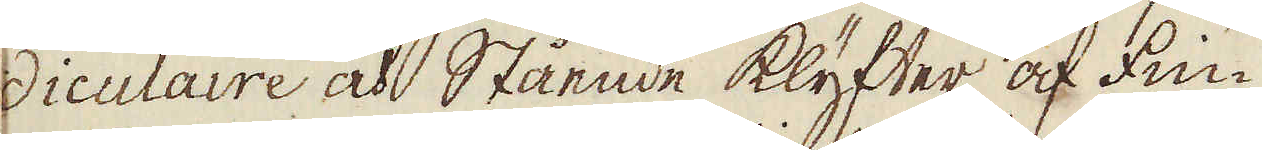diculaire och Stående klyfter af fin-
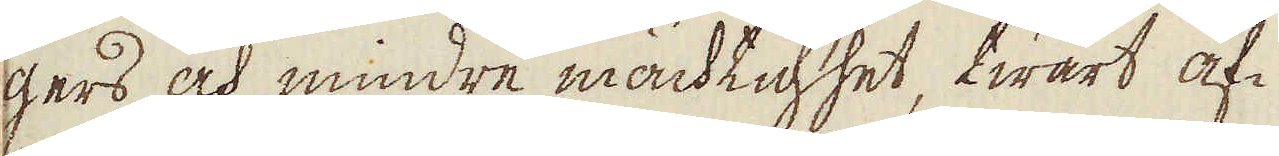gers och mindre mächtighet, twärt af-
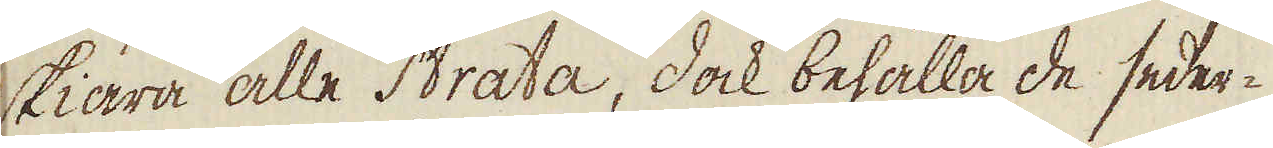skiära alle Strata, dock behålla de seder-
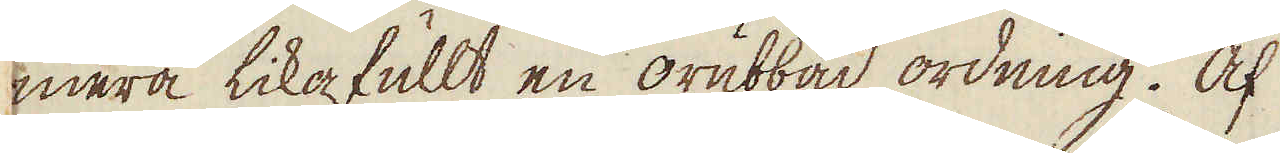mera likafullt en orubbad ordning. Af
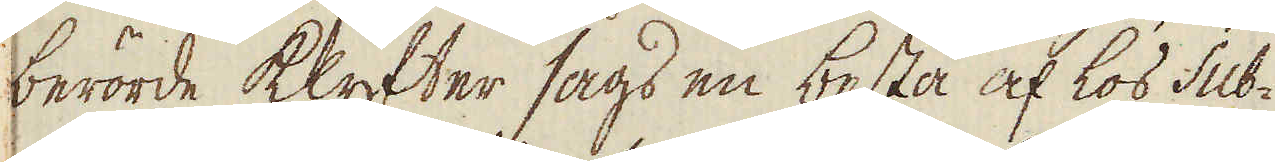berörde klyfter sågs en besta af lös sub-
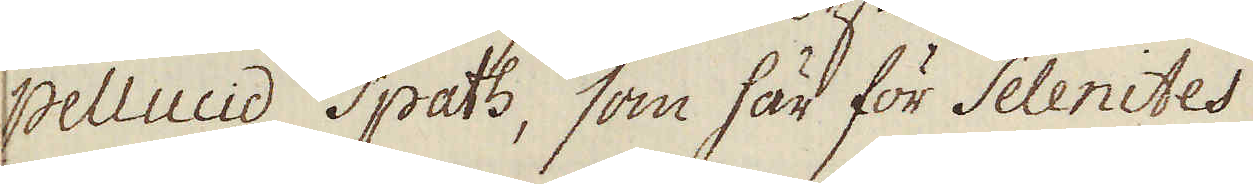pellicid spath, som här för Selenites
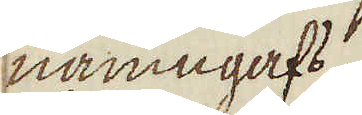namngafs.
